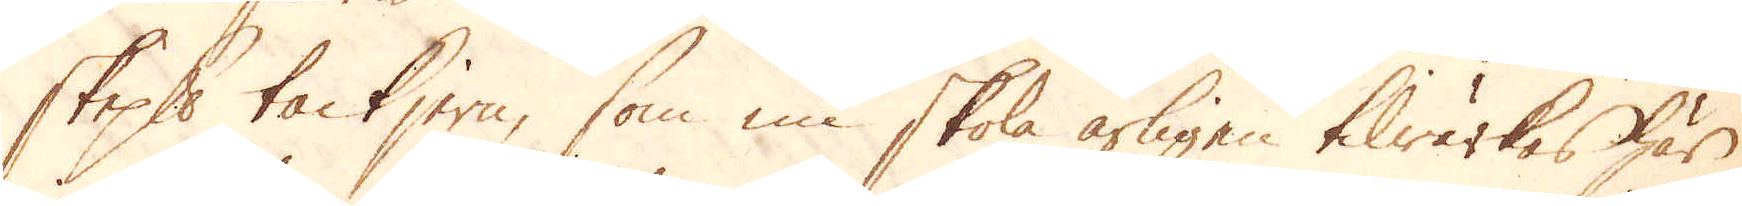skeppund tackjern, som nu skola årligen tilwärkas här
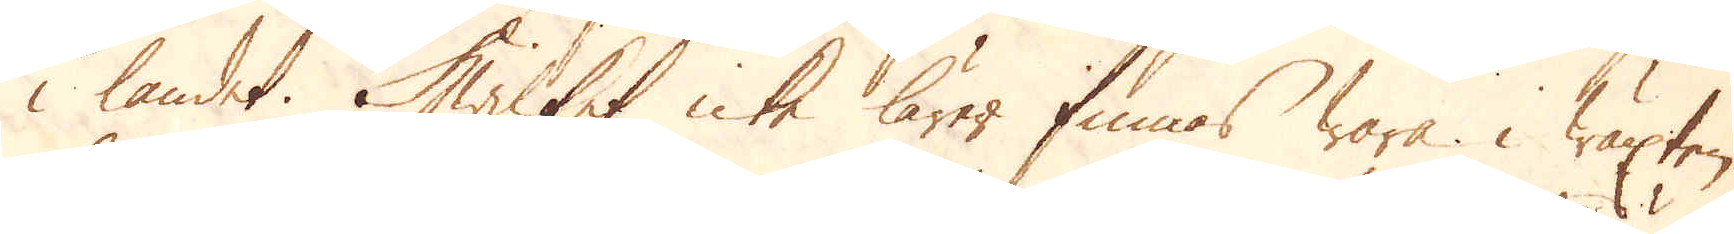i landet. Hwilket icke lärer finnas wara i wäxten
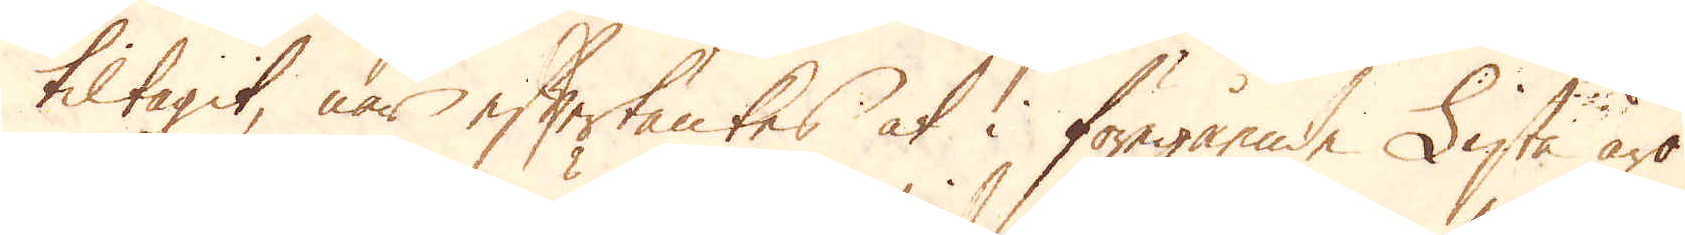tiltagit, när eftertänkes at i föregående Lista äro
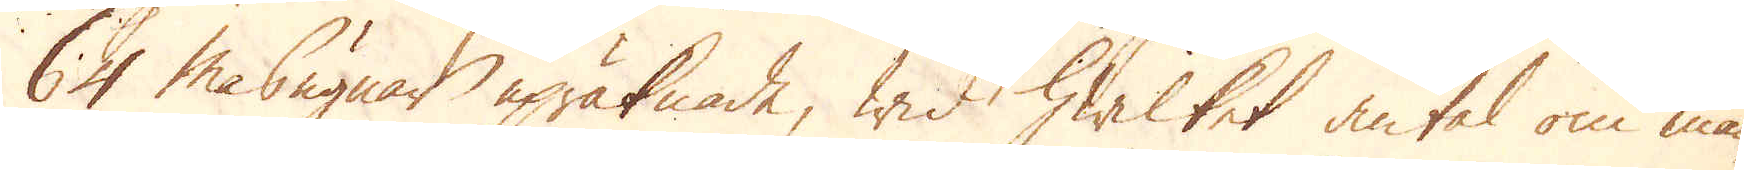64 Masugnar upräknade, wid hwilket antal om man
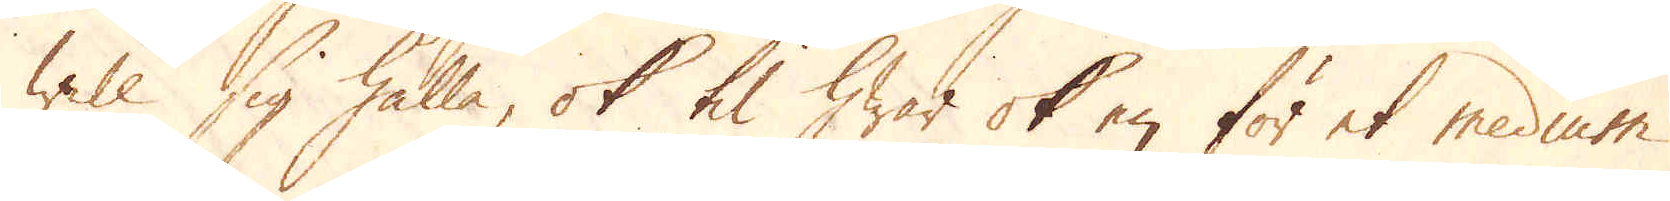will sig hålla, ok til hwar ok en för et medium
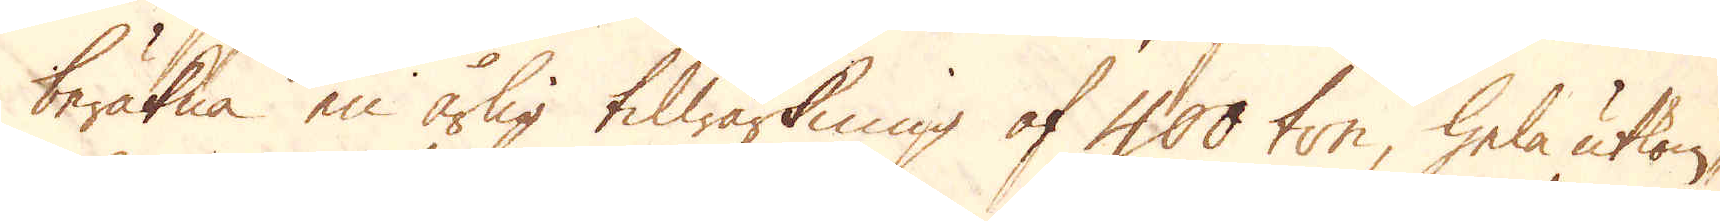beräkna en årlig tilwärkning af 400 ton, hela utkom-
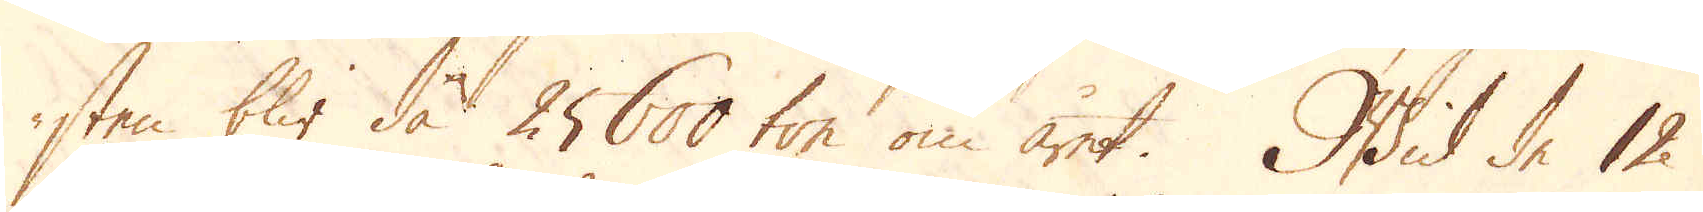sten blir då 25600 ton om året. Wid de 12
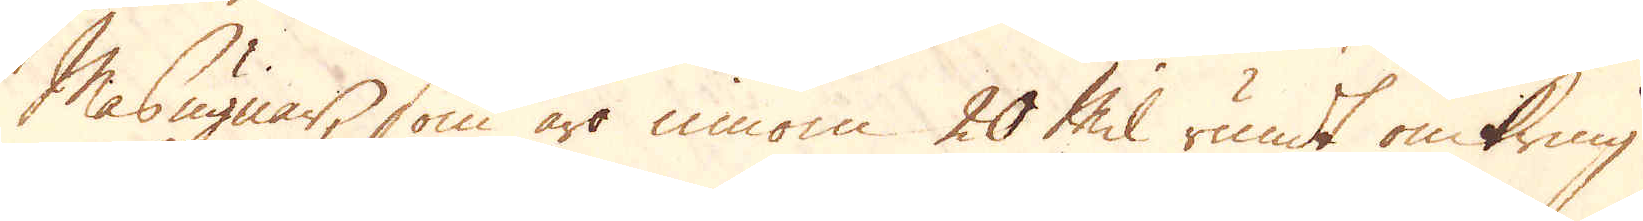Masugnar, som äro innom 20 Mil rundt omkring
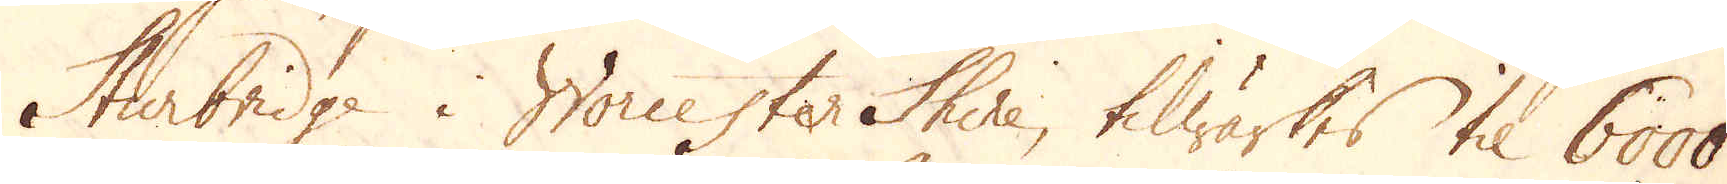Sturbridge i Worcester Shire, tilwärkes til 6000
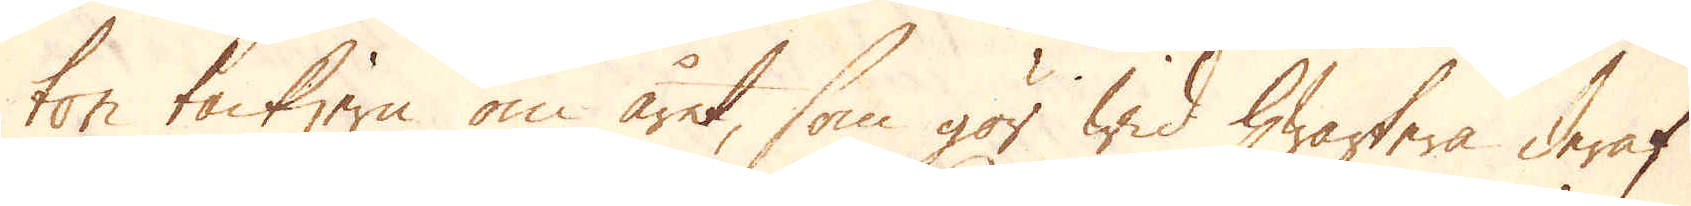ton tackjern om året, som gör wid hwartera deraf
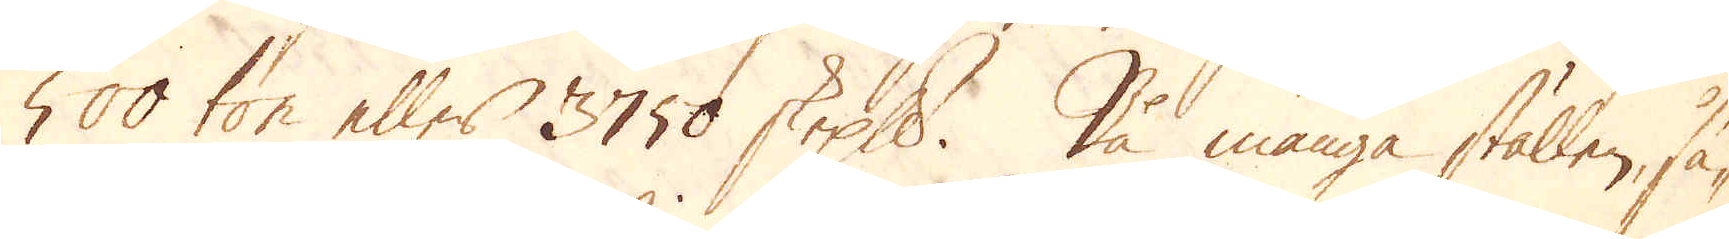500 ton eller 3750 skeppund. På många ställen, så-
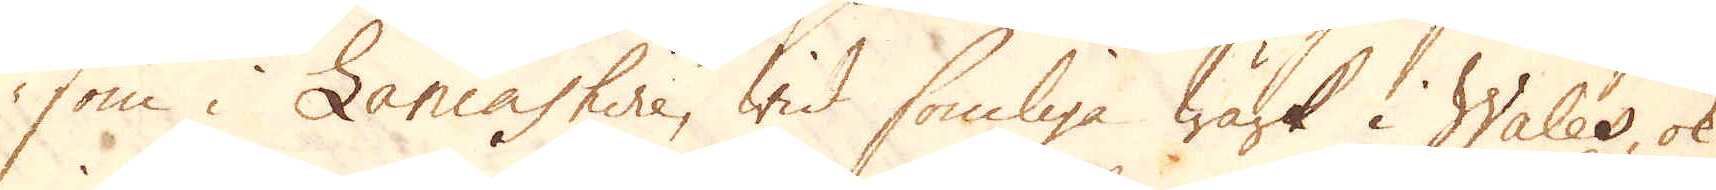som i Lancashire, wid somliga Wärk i Wales, ok
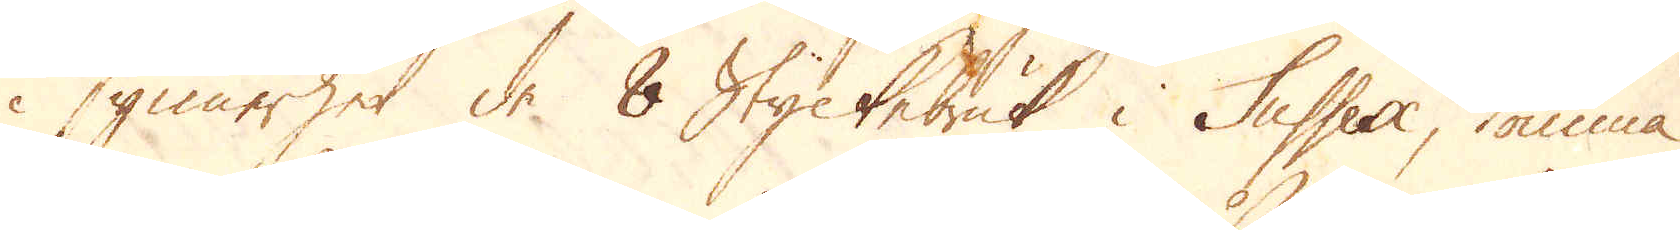i synnerhet de 8 Styckebruk i Sussex, komma
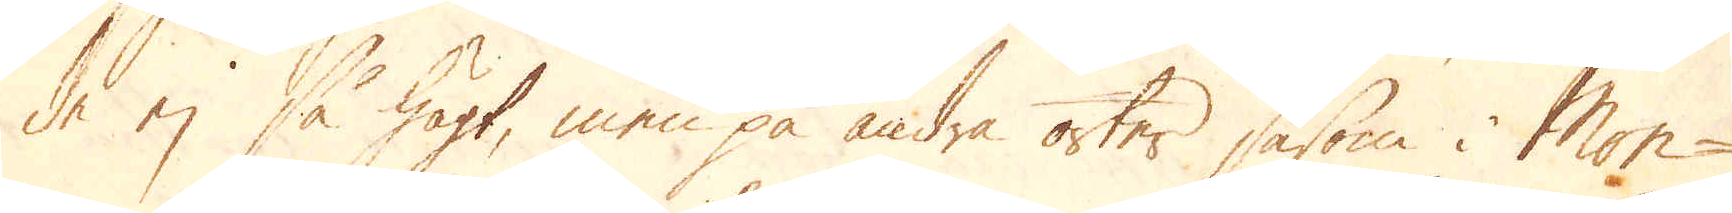de ej så högt, men på andra orter såsom i Mon-
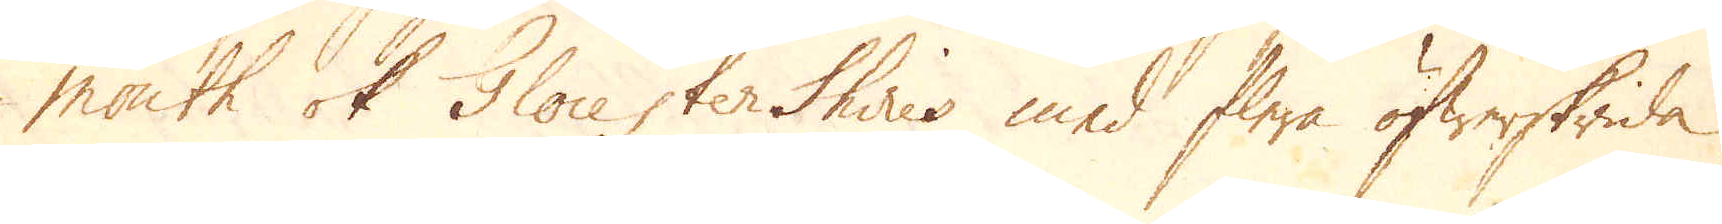mouth ok Glocester Shires med flere öfwerskrida
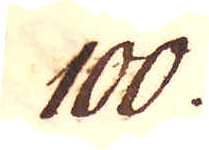100.
